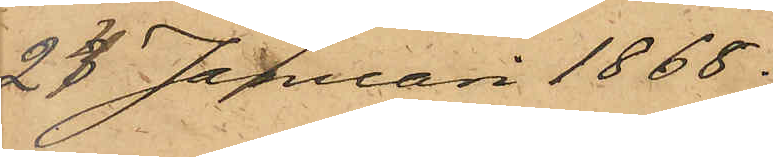24 Januari 1868.
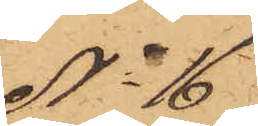No 16
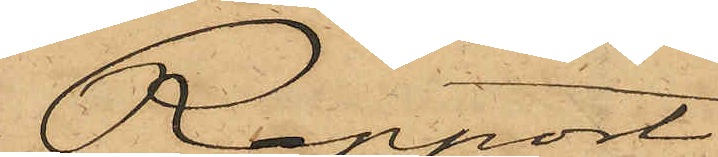Rapport.
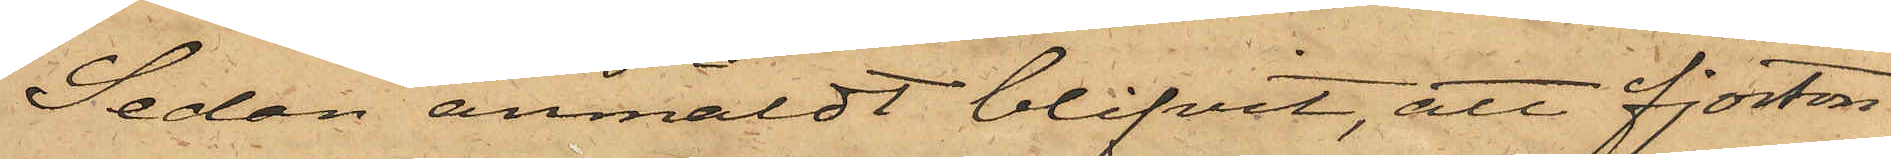Sedan anmäldt blifvit, att fjorton¬
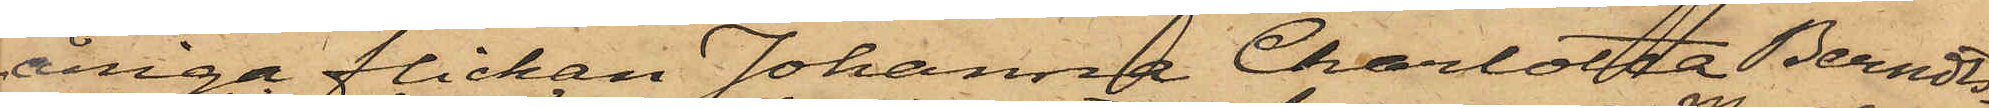åriga flickan Johanna Charlotta Berndts¬
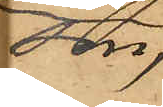son,
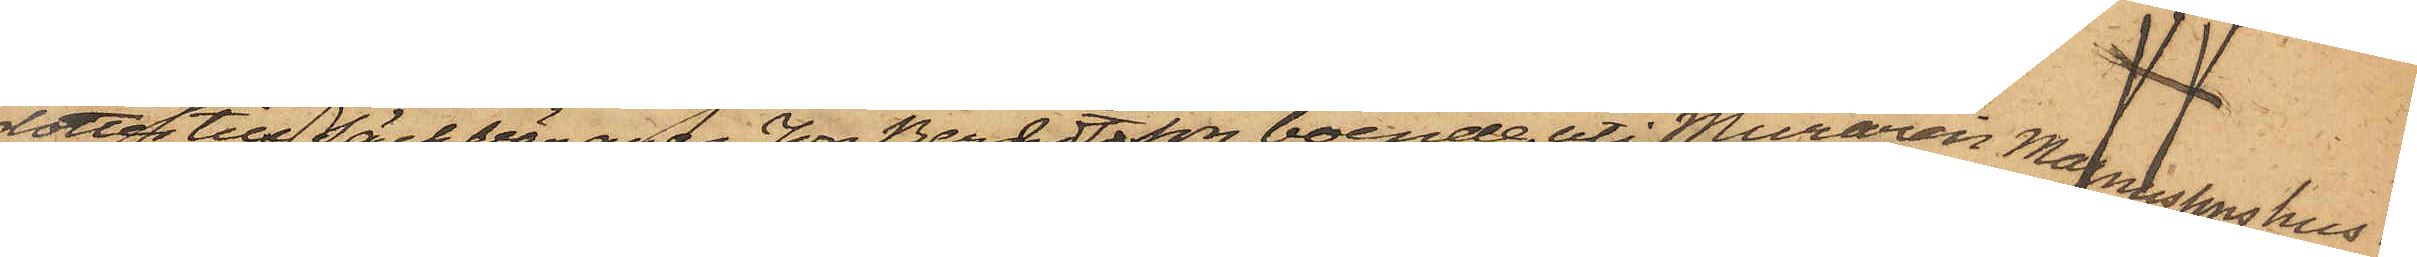dotter till Säckbäraren Jon Berndtsson, boende uti Muraren Magnussons hus i
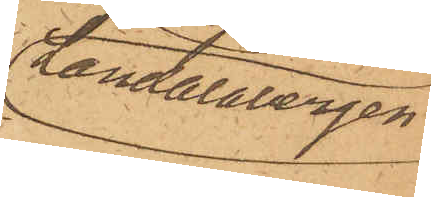Landalabergen
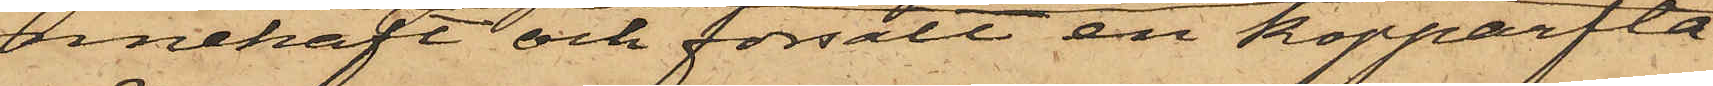innehaft och försålt en kopparfla¬
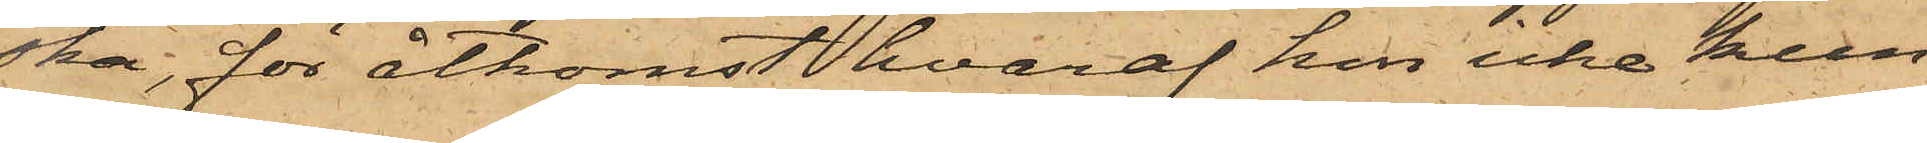ska, för åtkomst hvaraf hon icke kun¬
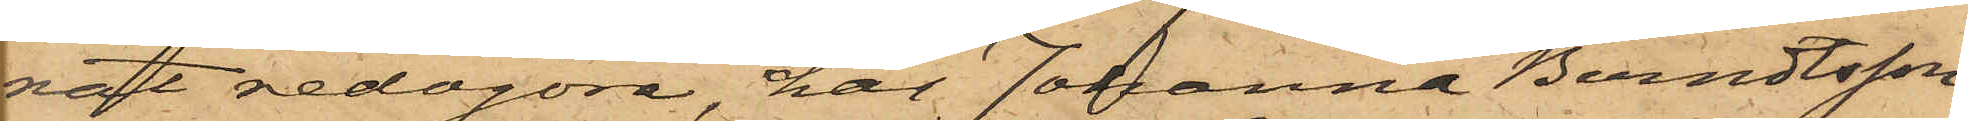nat redogöra, har Johanna Berndtsson
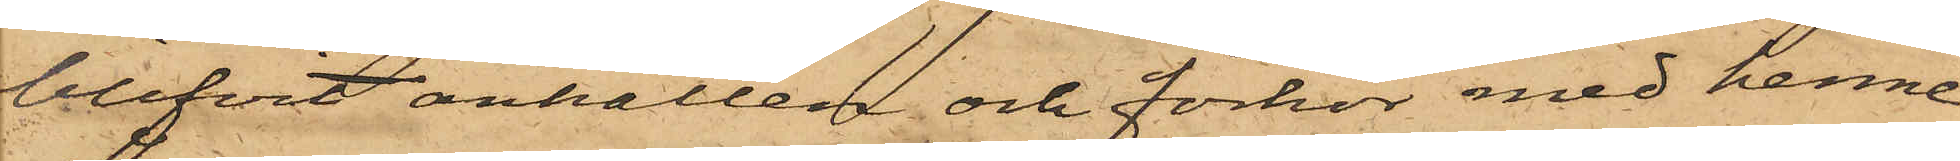blifvit anhållen och förhör med henne
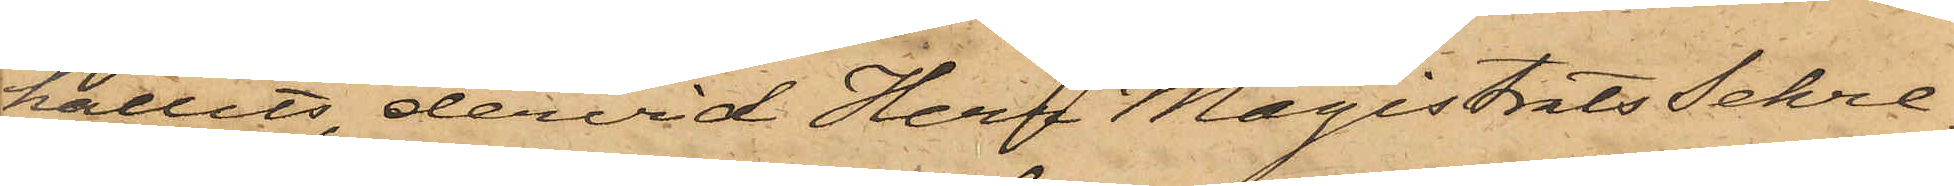hållits, dervid Herr MagistratsSekre¬
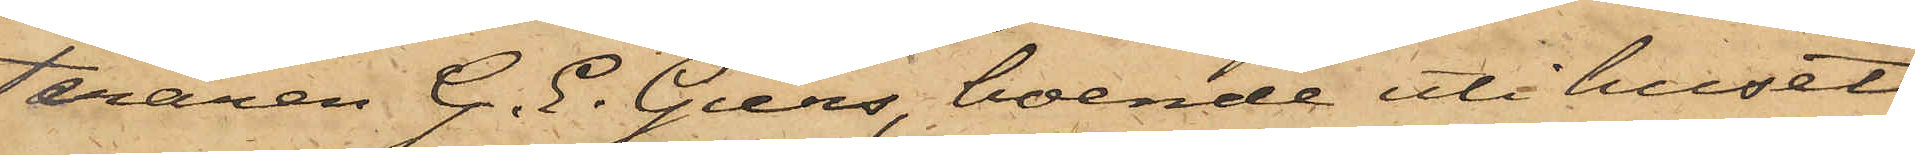teraren G. E. Giers, boende uti huset
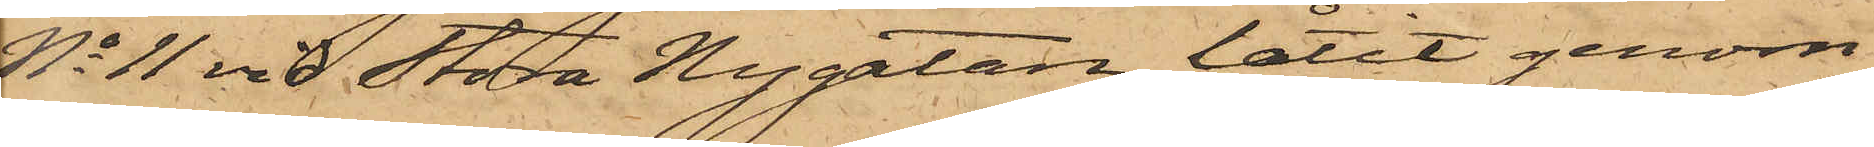No 11 vid Stora Nygatan, låtit genom
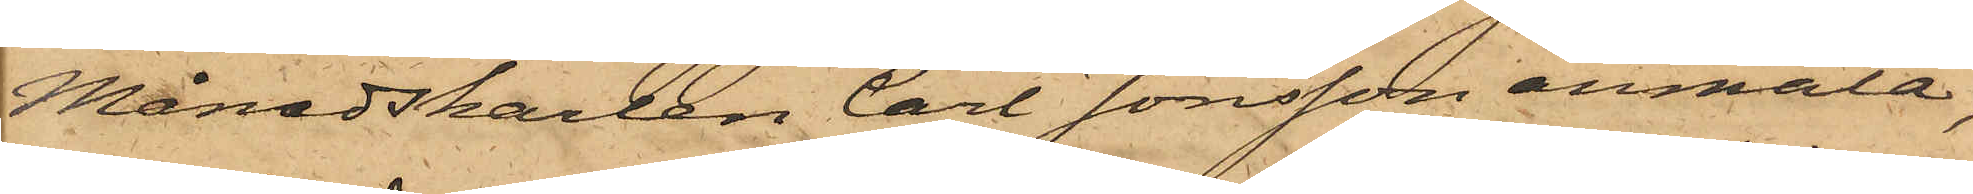Månadskarlen Carl Jonsson anmäla,
